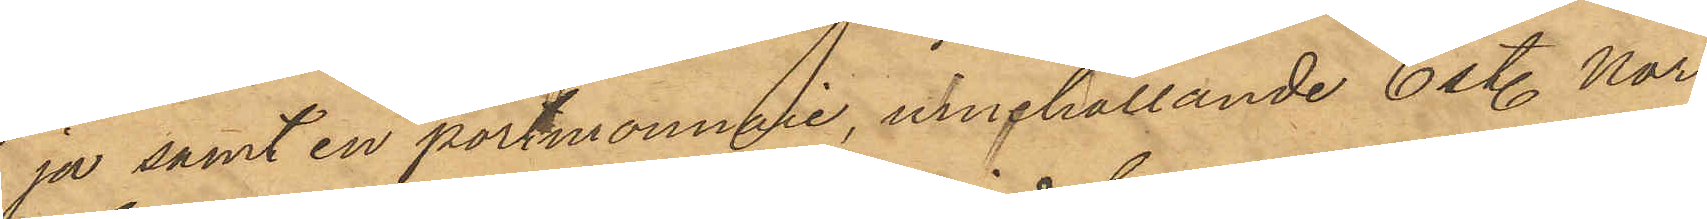ja samt en portmonnaie, innehållande 6 sty. Nor¬
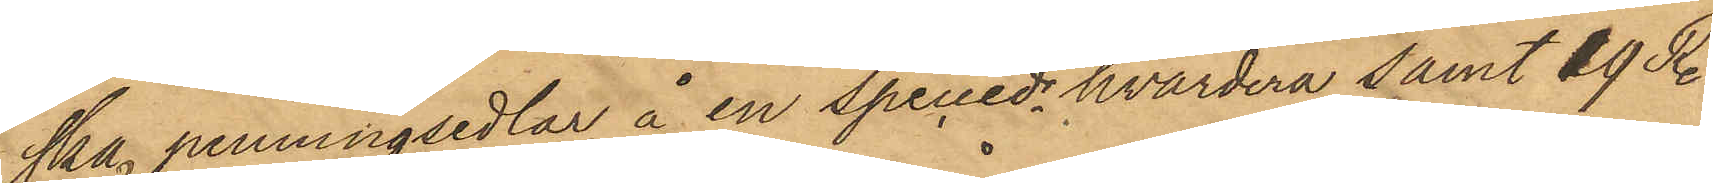ska penningsedlar å en speciedr hvardera samt 19 Rdr
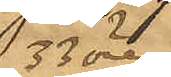33 öre
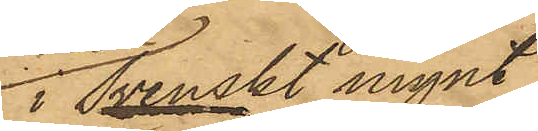i svenskt mynt
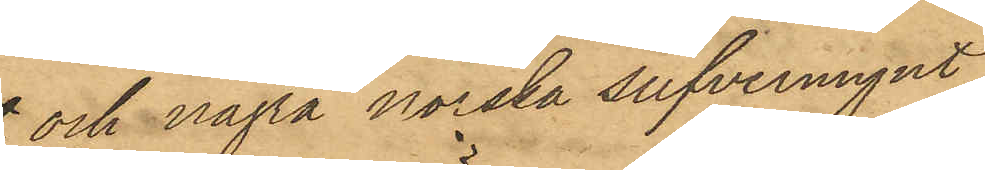och några norska silfvermynt,
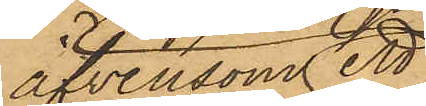äfvensom ett
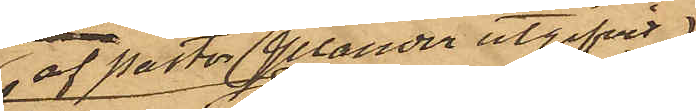af prosten Ylander utgifvet
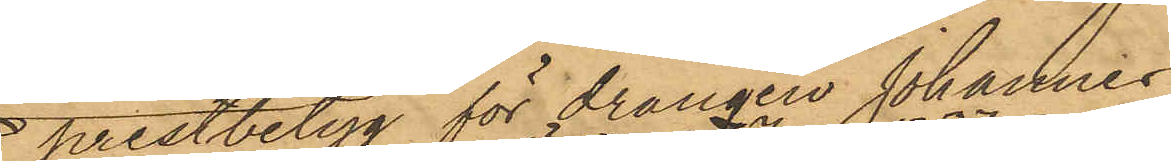prestbetyg för drängen Johannes
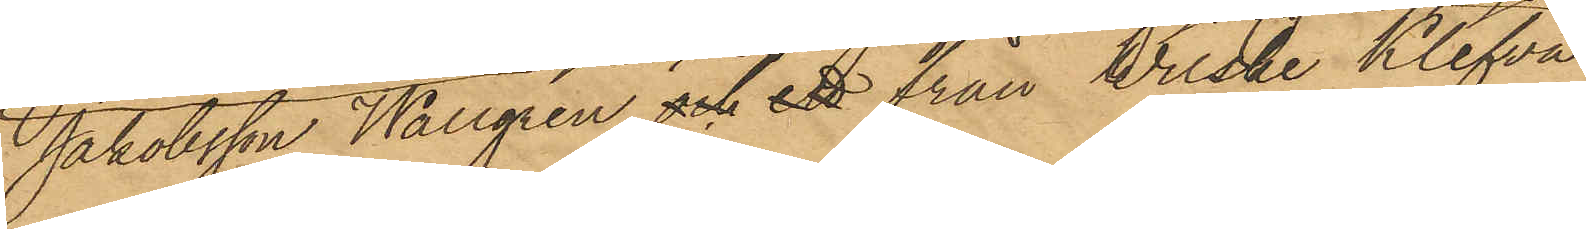Jakobsson Wallgren och ett från Wilske Klefva utvisande 
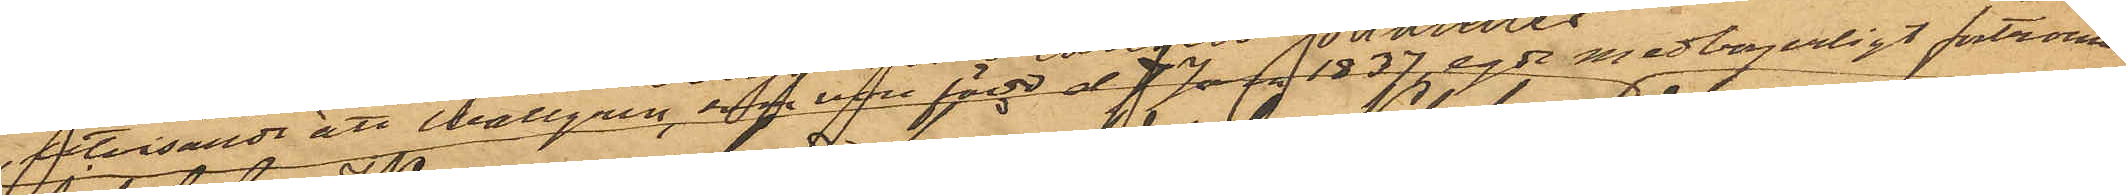att Wallgren, som vore född d 7 Jan. 1837,egde medborgerligt fortroende
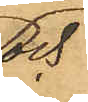och
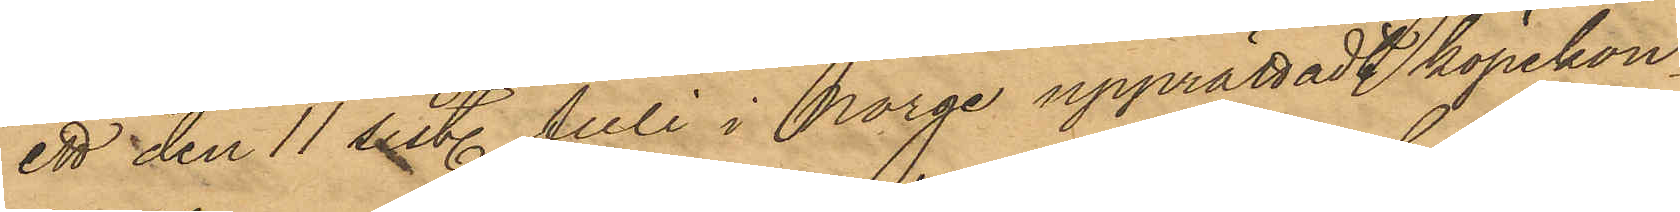ett den 11 sist. Juli i Norge upprättadt köpekon¬
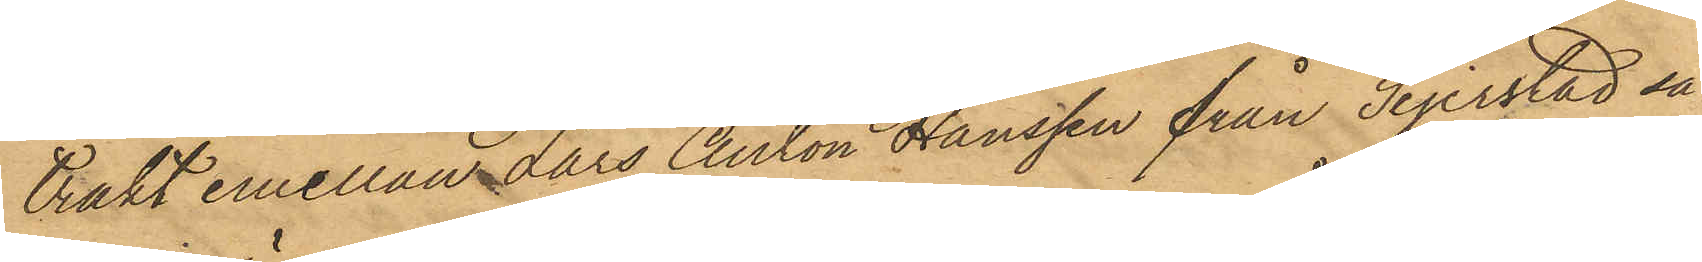trakt emellan Lars Anton Hanssen från Sejerstad så¬
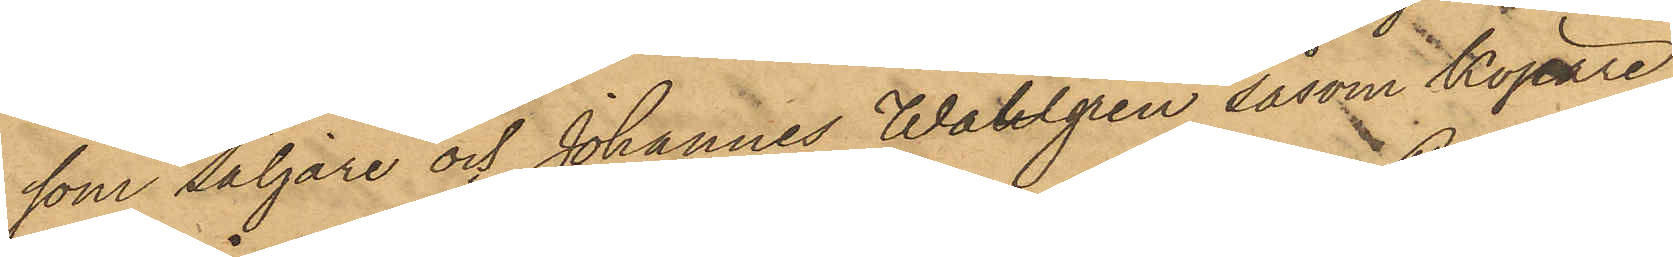som säljare och Johannes Wallgren såsom Köpare
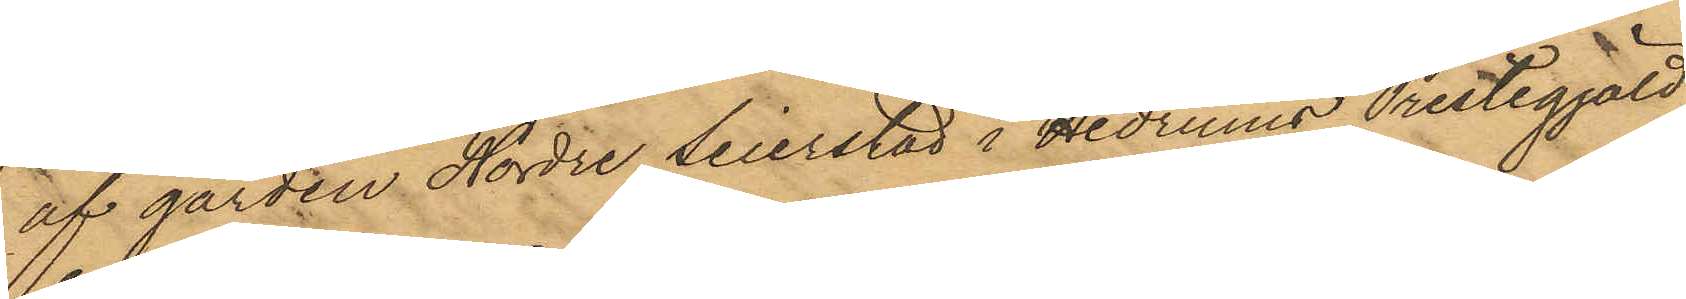af gården Nordre Seierstad i Hedrums Prestegjäld,
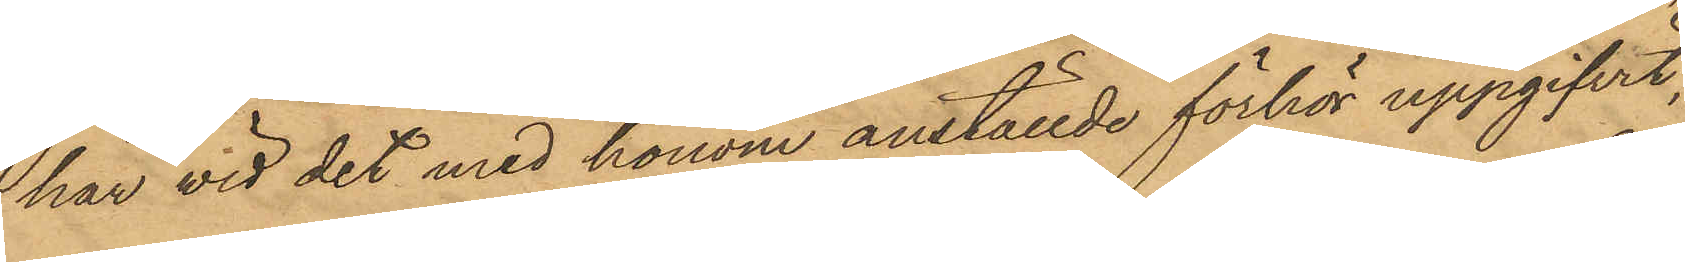har vid det med honom anställde förhör uppgifvit,
